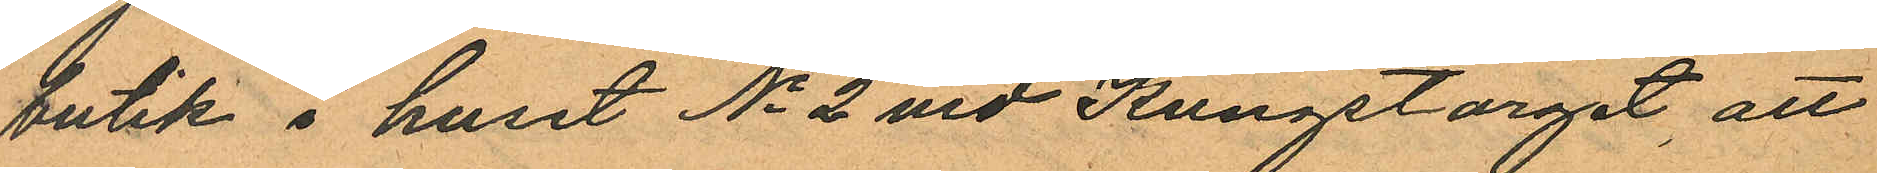butik i huset No 2 vid Kungstorget, att
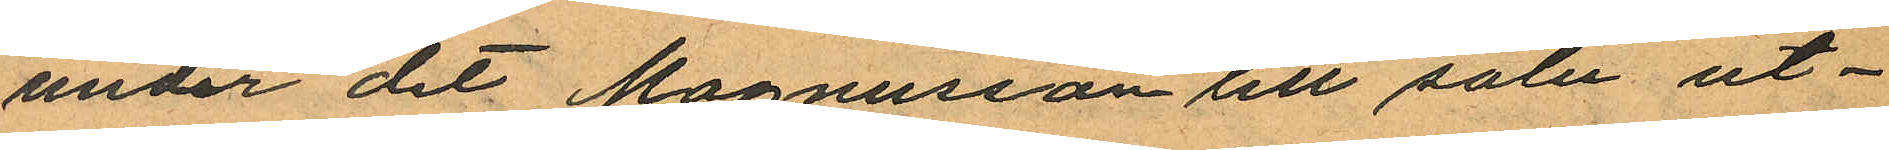under det Magnusson till salu ut¬
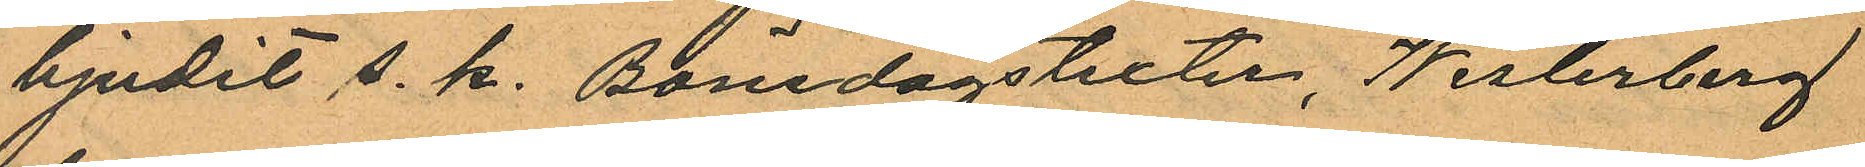bjudit s. k. Bönedagstexter, Westerberg
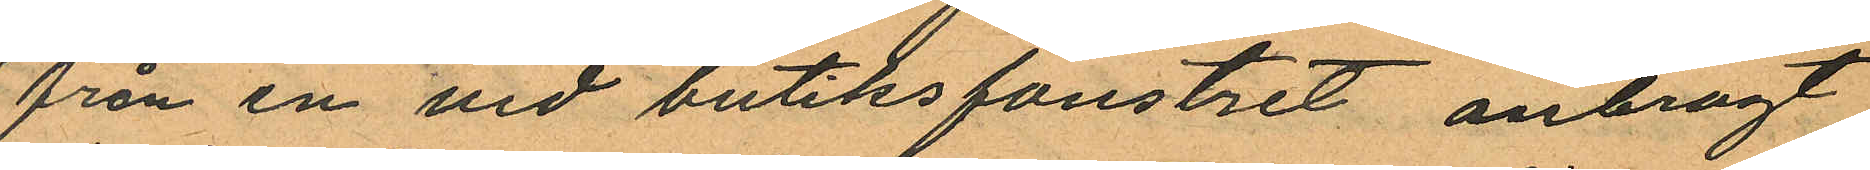från en vid butiksfönstret anbragt
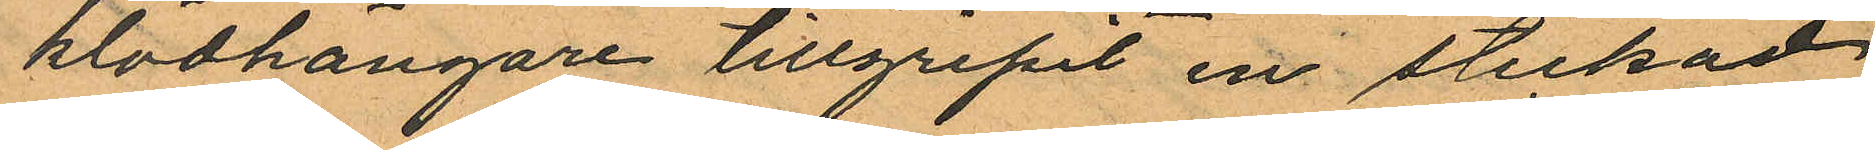klädhängare tillgripit en stickad
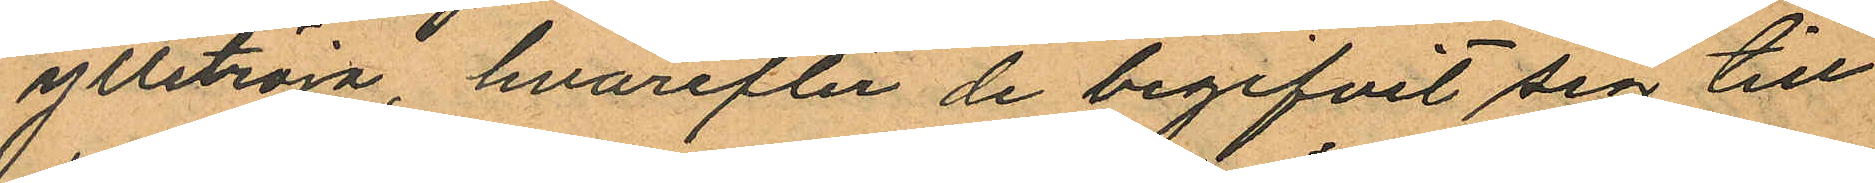ylletröja, hvarefter de begifvit sig till
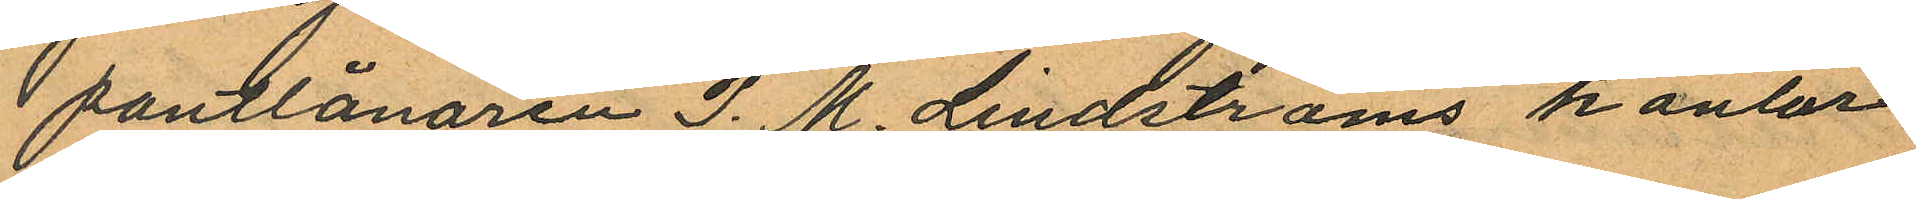pantlånaren P. M. Lindströms kontor
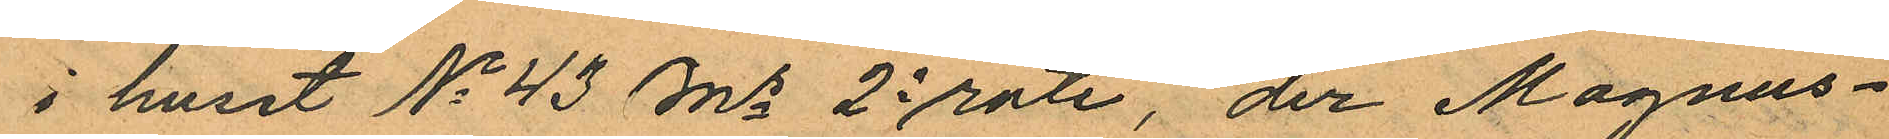i huset No 43 Ms 2e rote, der Magnus¬
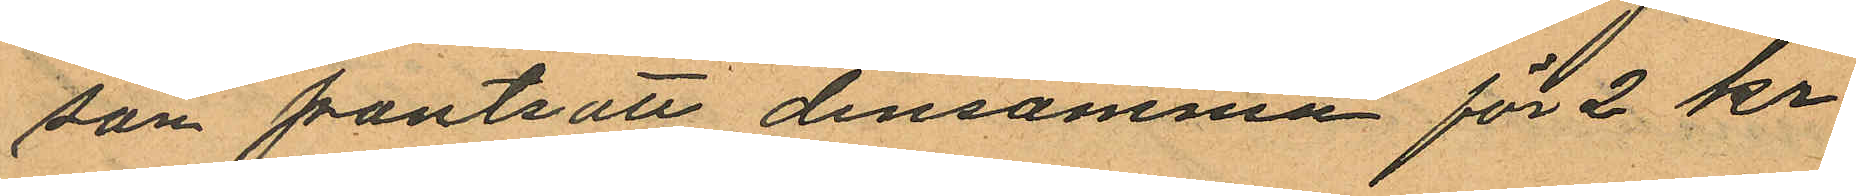son pantsatt densamma för 2 kr.
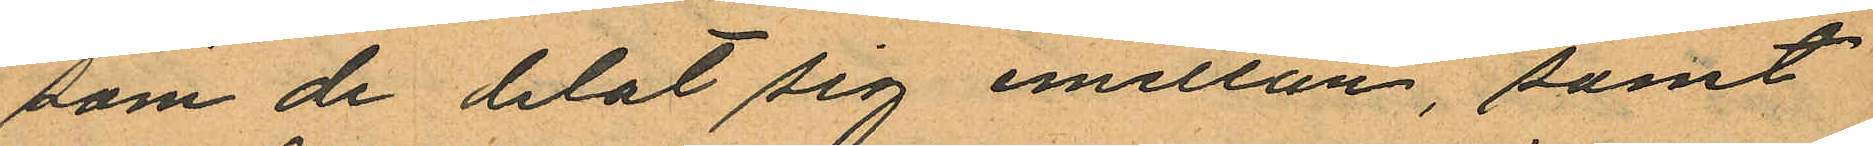som de delat sig emellan, samt
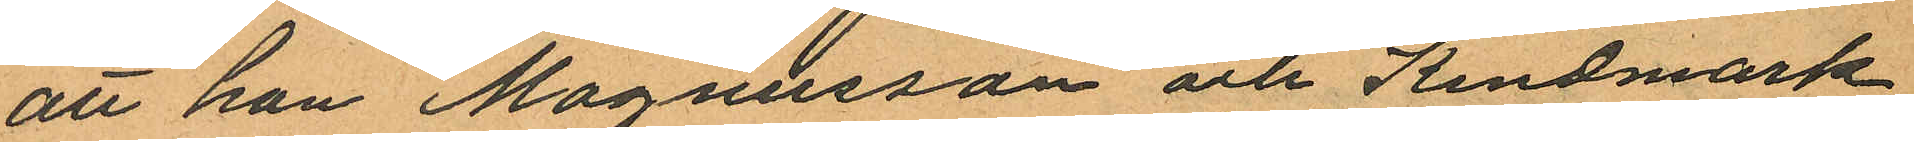att han Magnusson och Kindmark
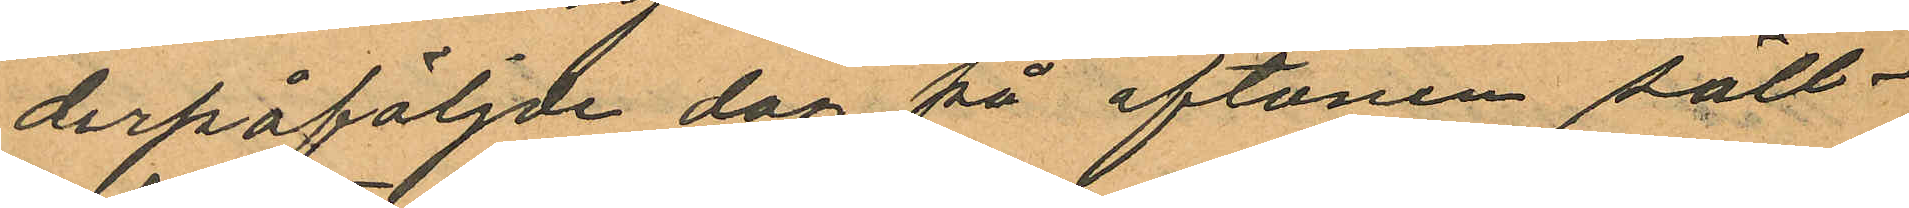derpåföljde dag på aftonen säll¬
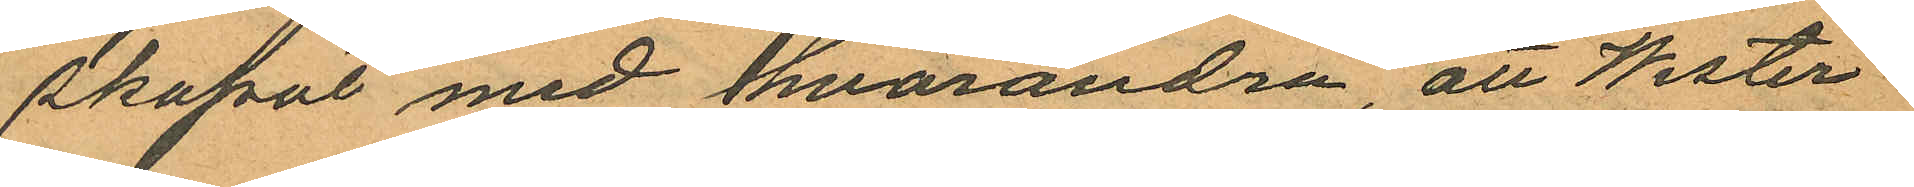skapat med hvarandra, att Wester¬
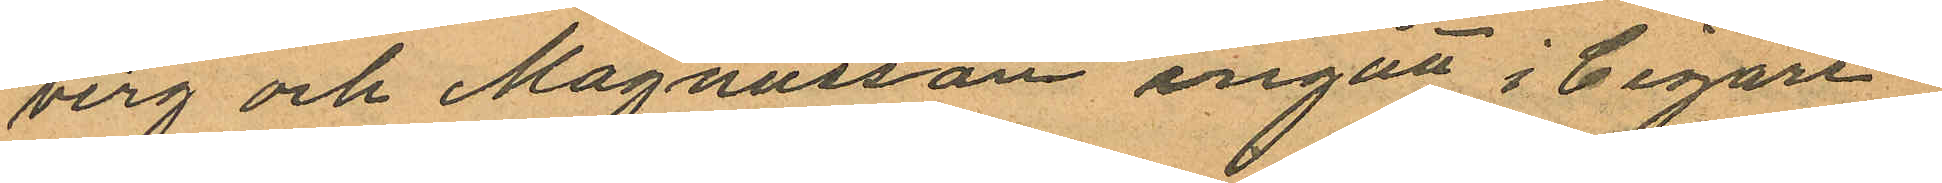berg och Magnusson ingått i Cigarr¬
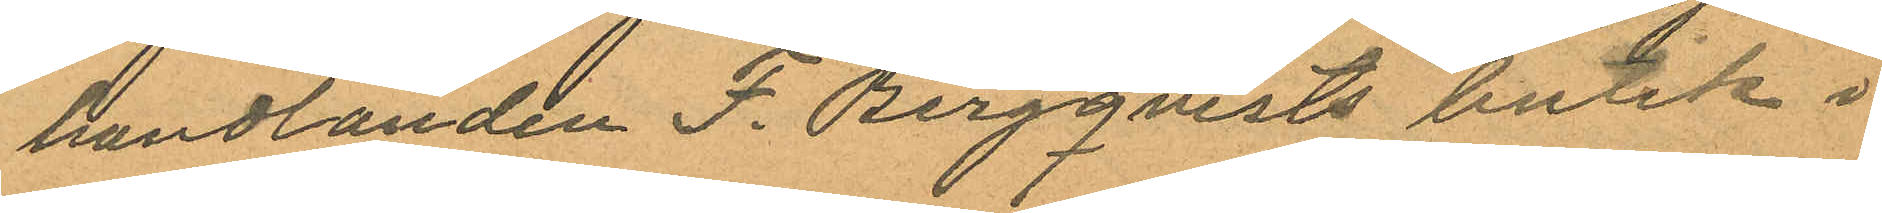handlanden F. Bergqvists butik i
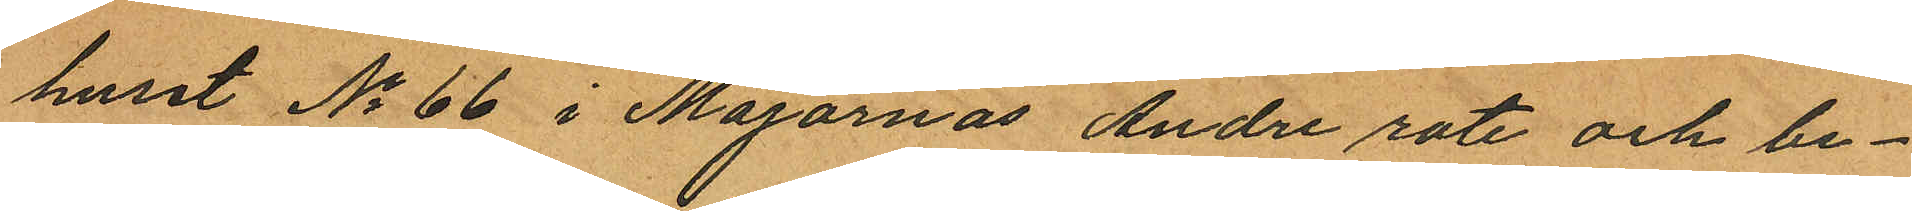huset No 66 i Majornas Andre rote och be¬
